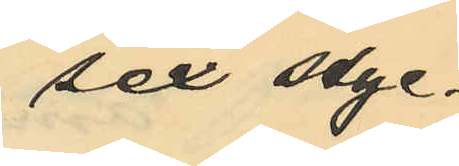sex styc¬
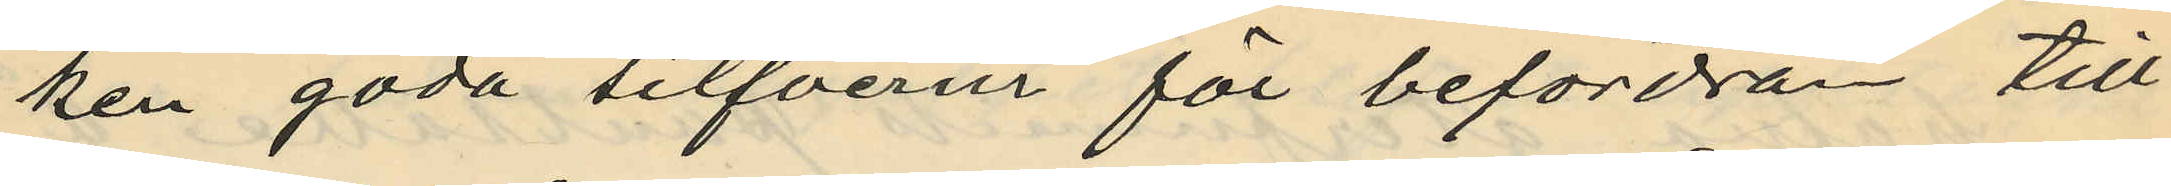ken goda silfverur för befordran till
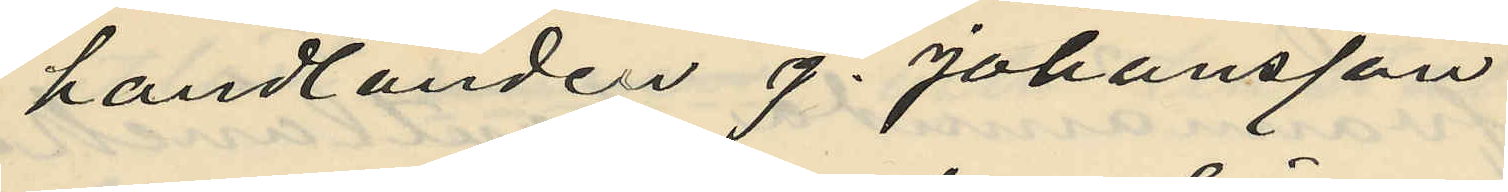handlanden J. Johansson
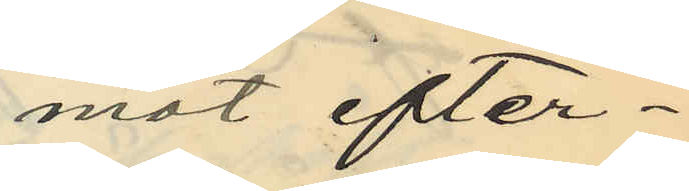mot efter¬
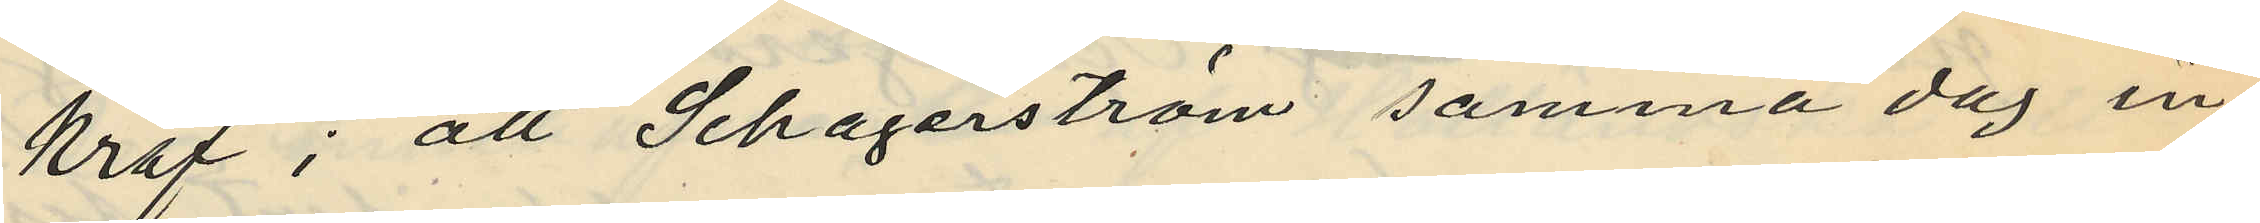kraf; att Schagerström samma dag in¬
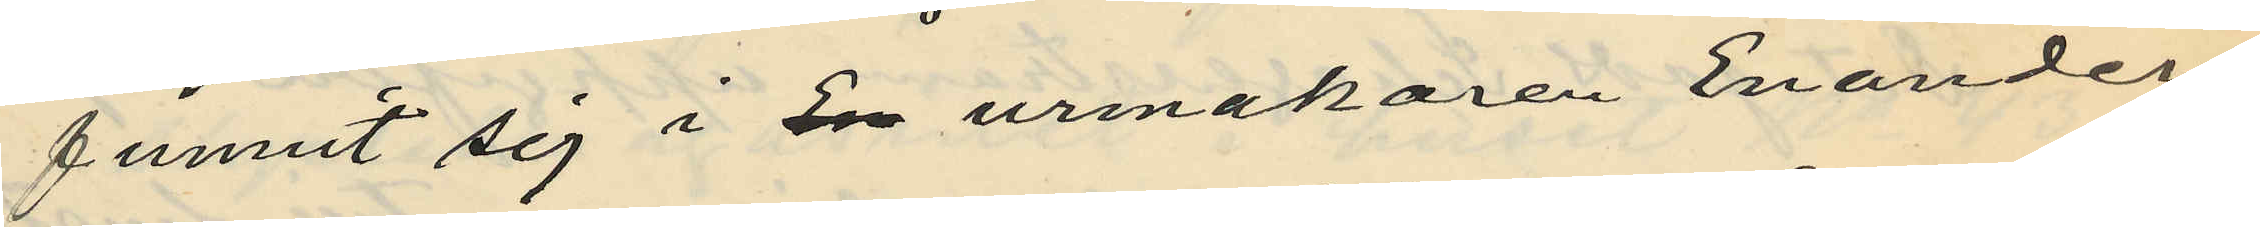funnit sig i En urmakaren Enanders
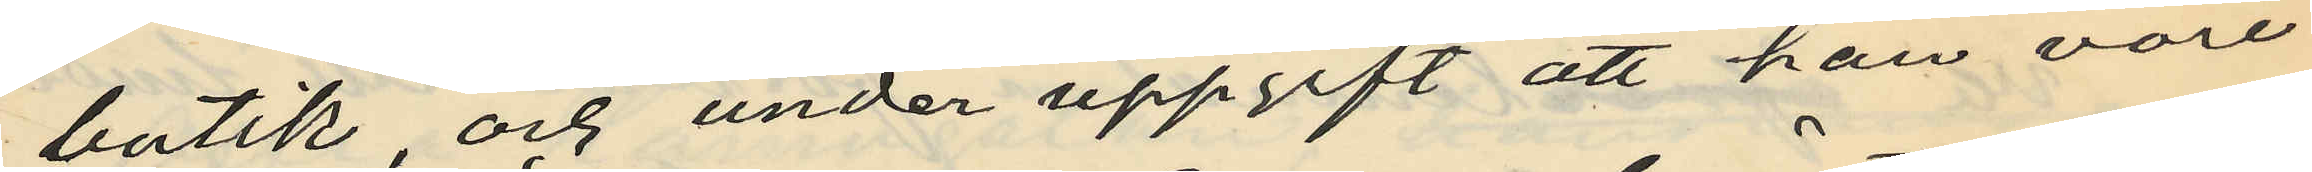butik, och under uppgift att han vore
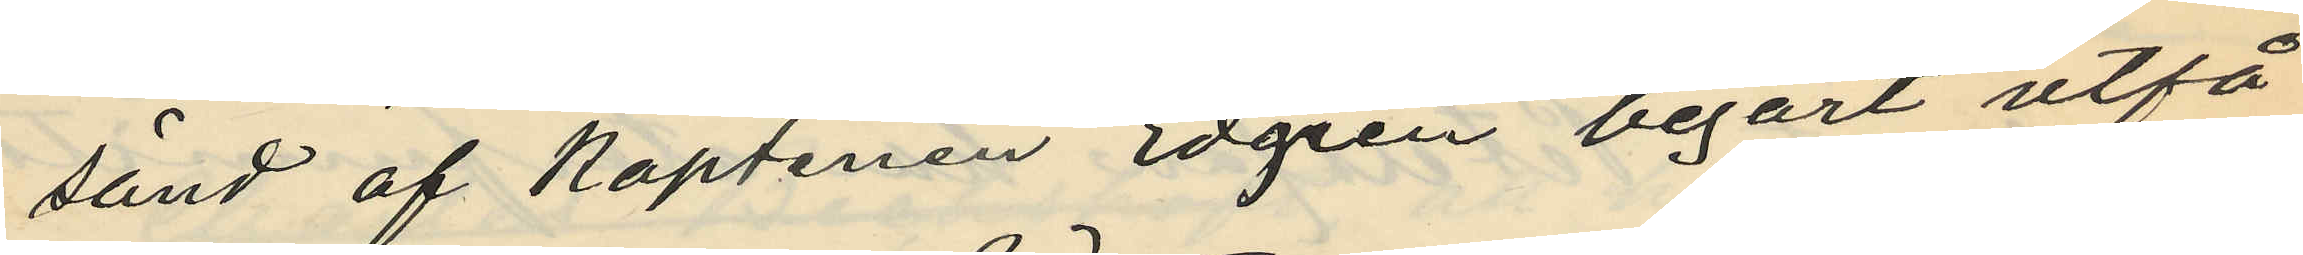sänd af Kaptenen Edgren begärt utfå
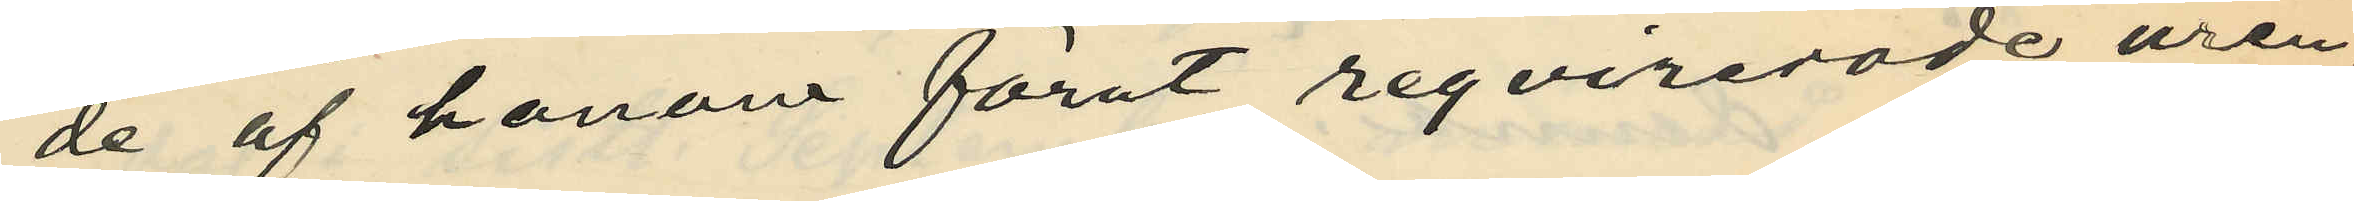de af honom förut reqvirerade uren;
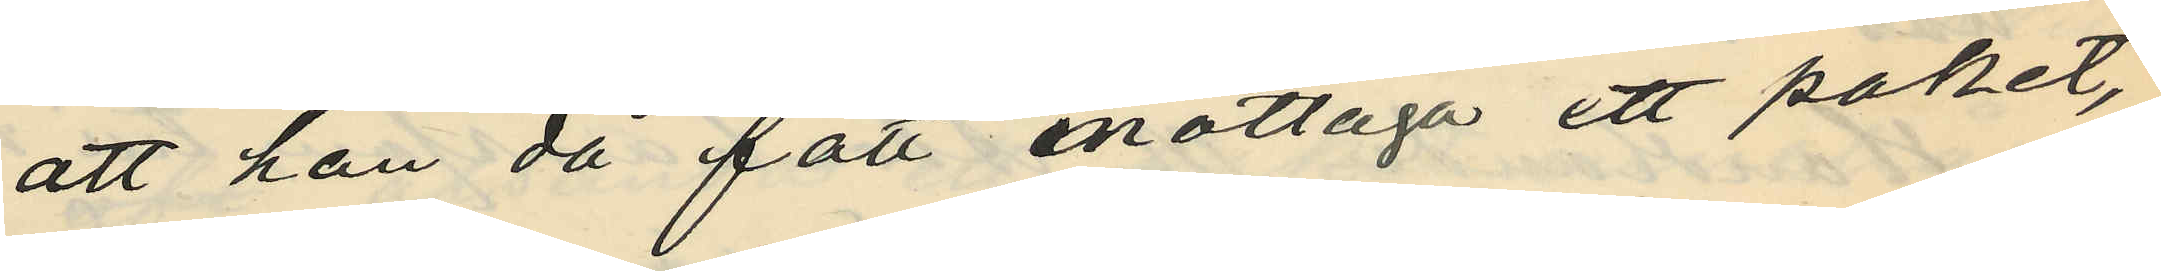att han då fått mottaga ett paket,
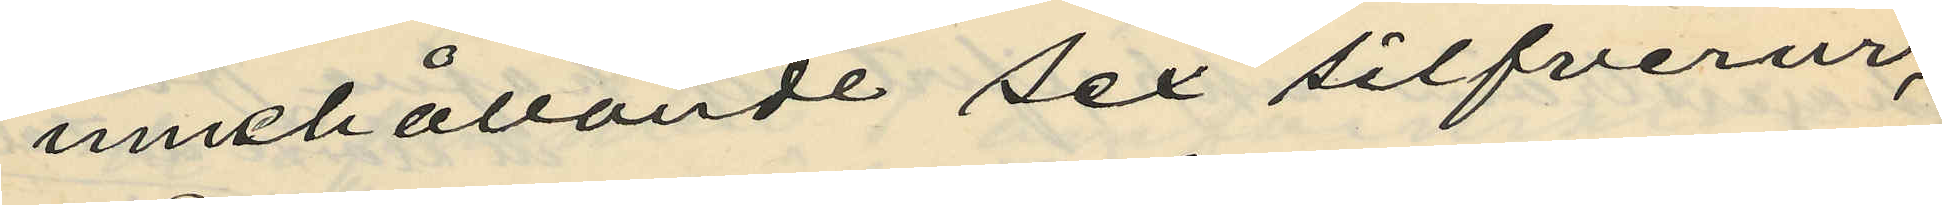innehållande sex silfverur,
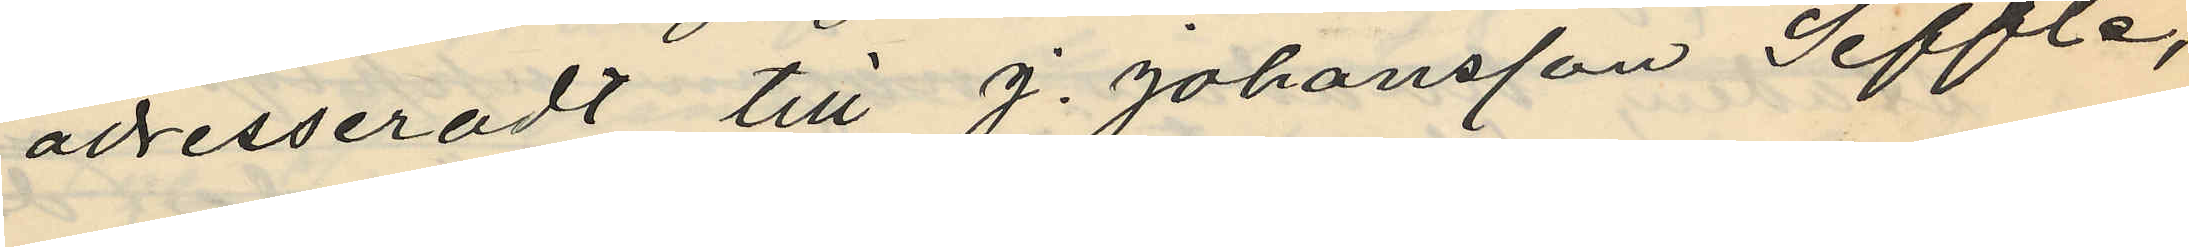adresseradt till J. Johansson Seffle,
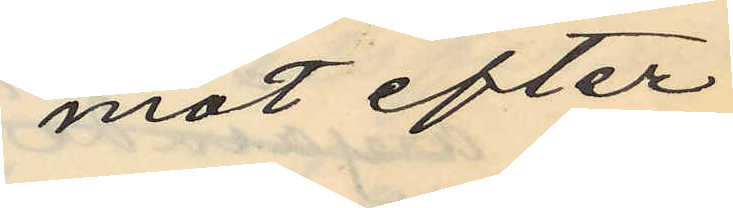mot efter¬
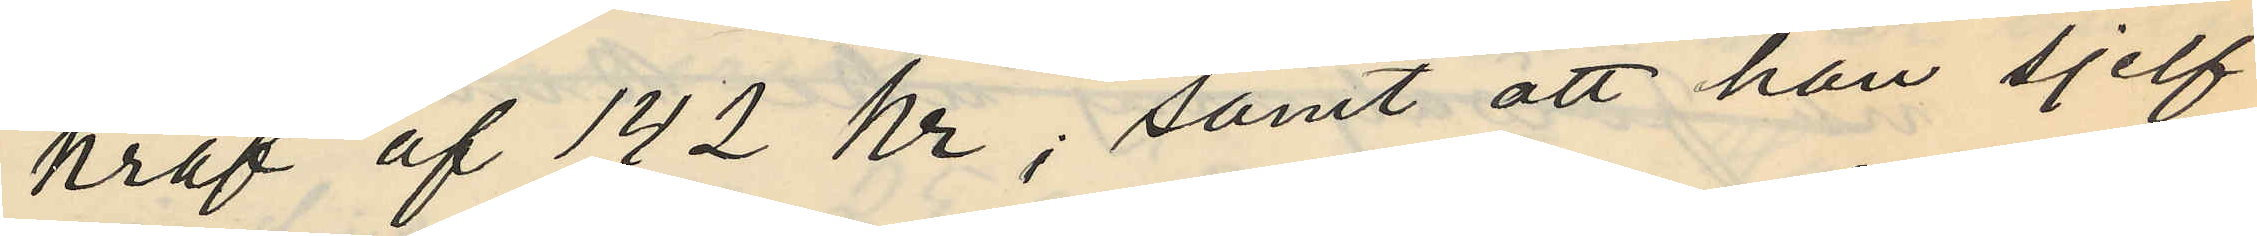kraf af 142 Kr; samt att han sjelf
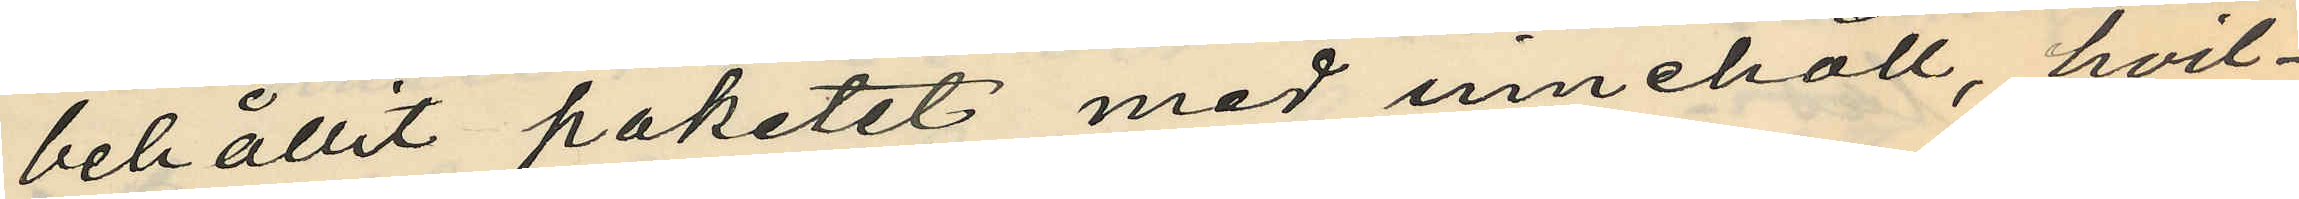behållit paketet med innehåll, hvil¬
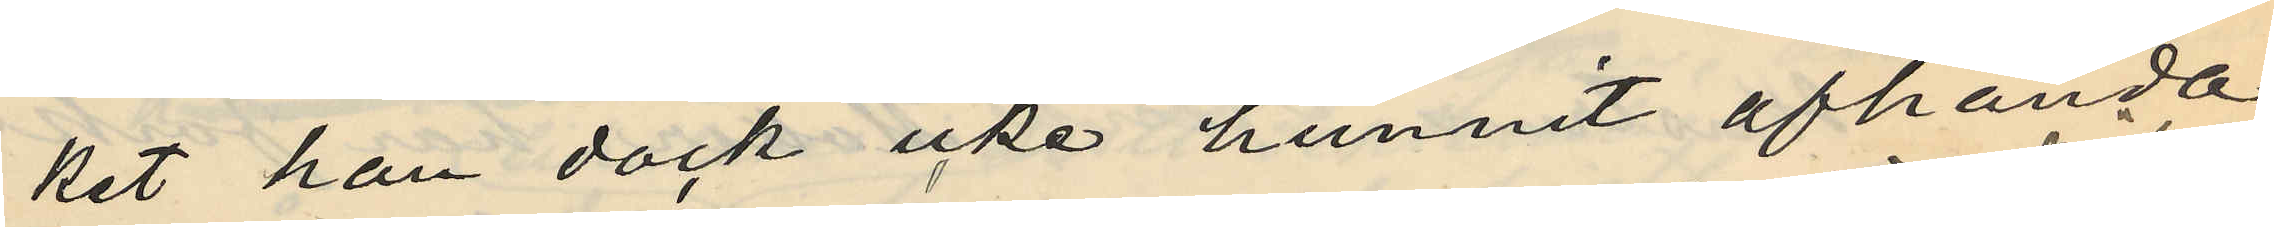ket han dock icke hunnit afhända
